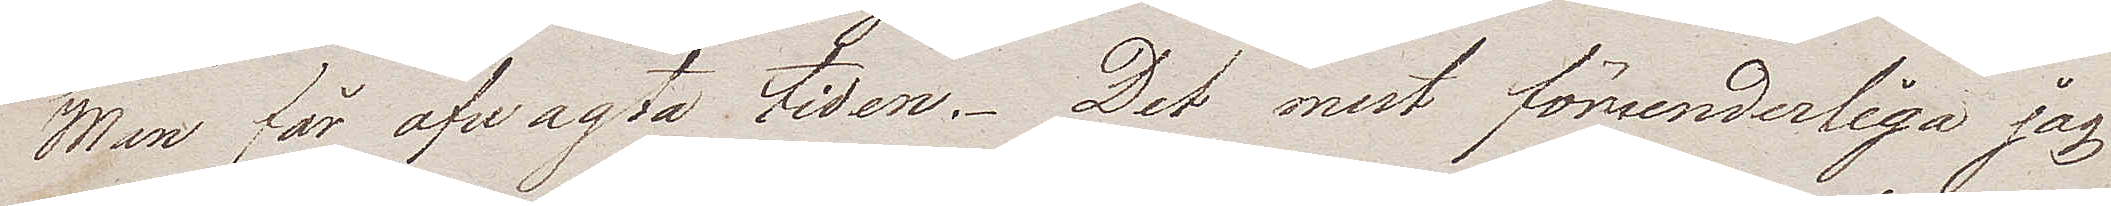Man får afwagta tiden. Det mest förunderliga jag
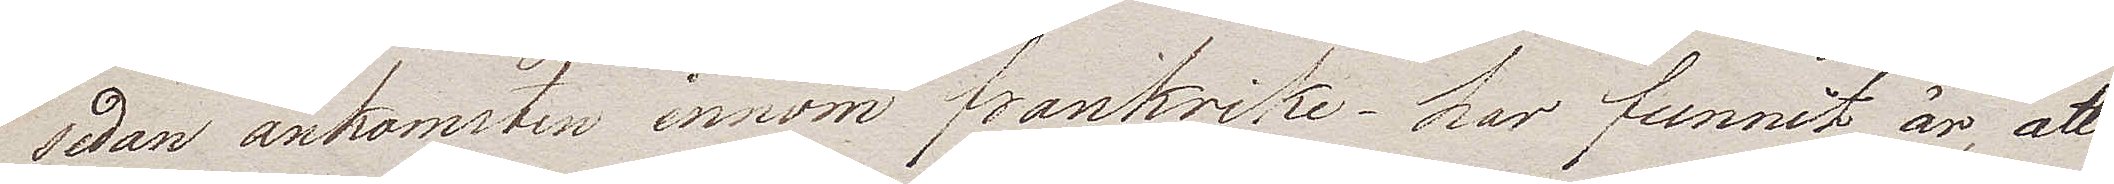sedan ankomsten innom frankrike – har funnit är, att
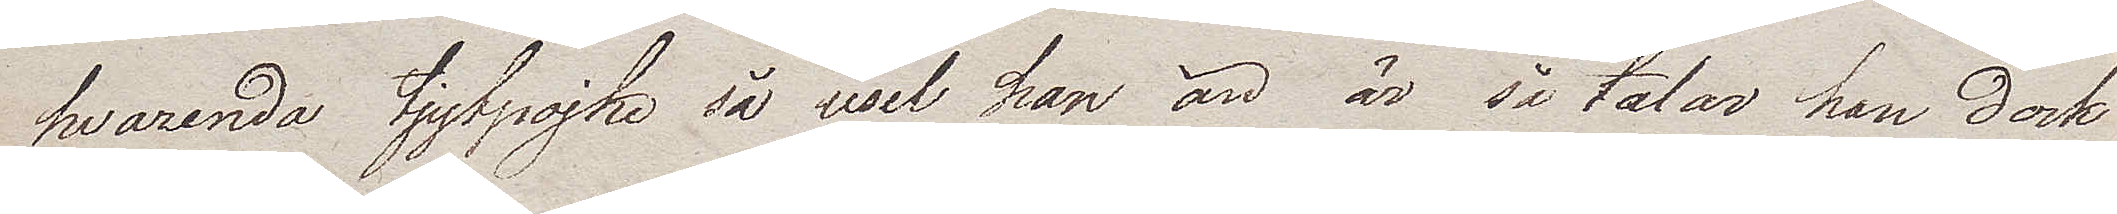hvarenda tjyfpojke så usel han än är så talar han dock
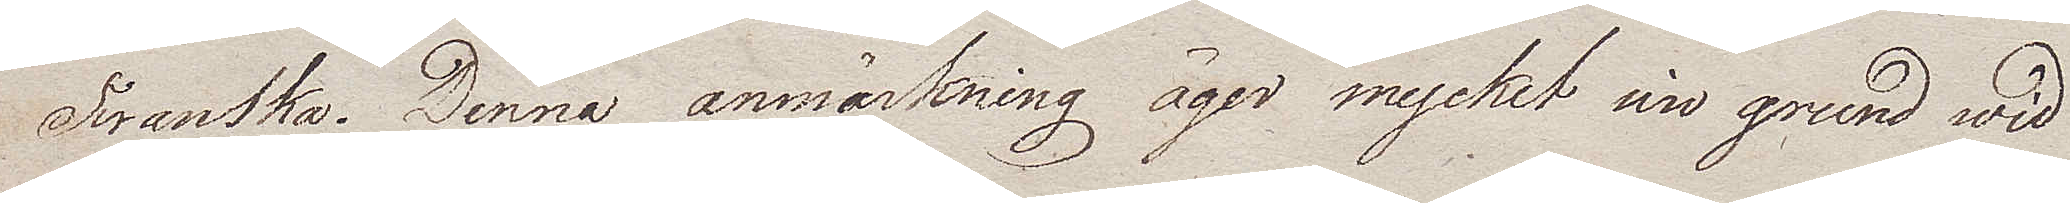Franska. Denna anmärkning äger mycket sin grund wid
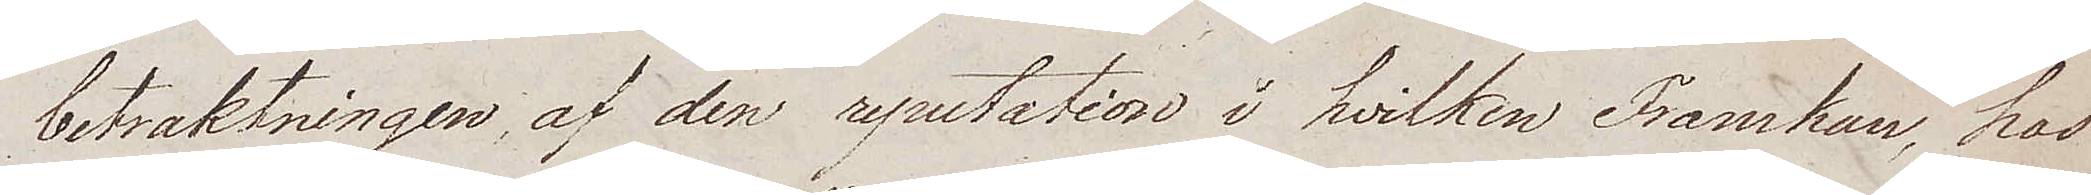betraktningen, af den reputation i hvilken Franskan, hos
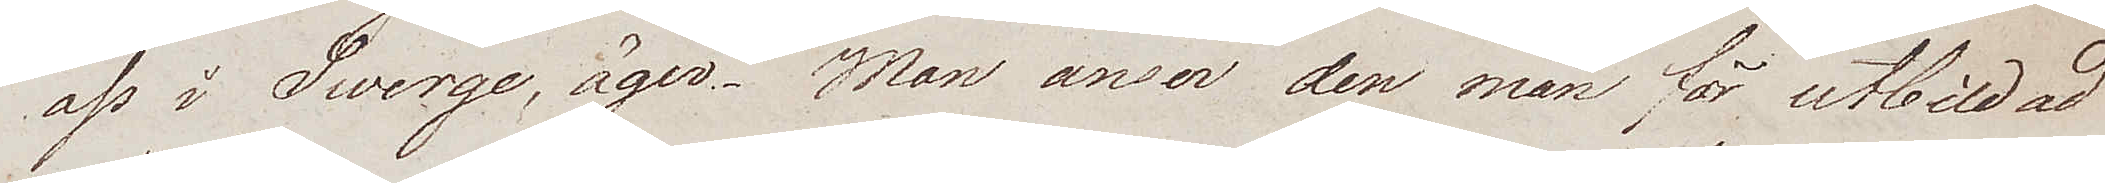oss i Swerge, äger. Man anser den man för utbildad
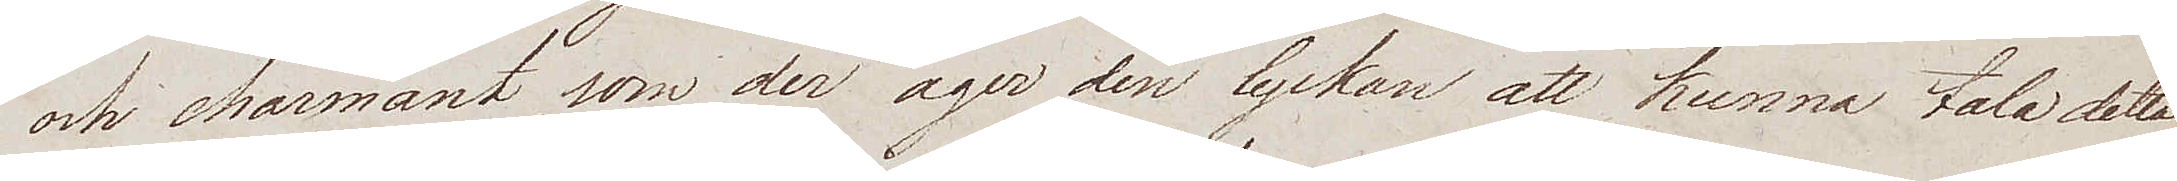och charmant, som der äger den lyckan att kunna tala detta
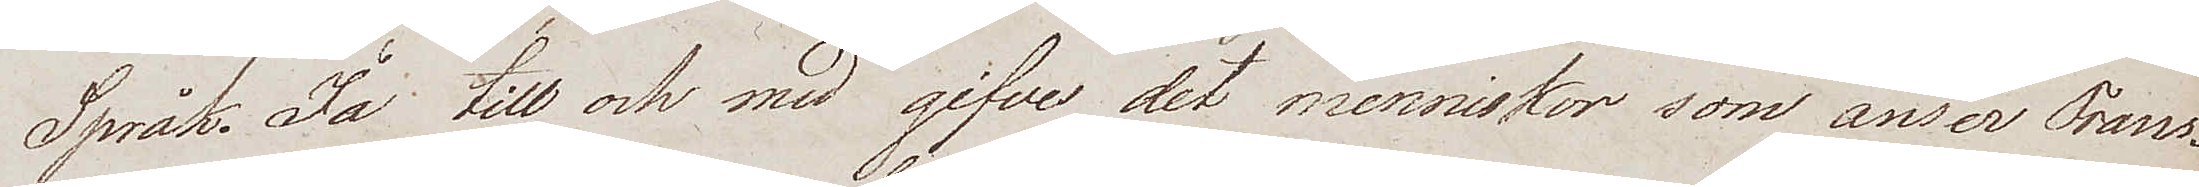Språk. Ja till och med gifves det menonskor som anser Frans¬
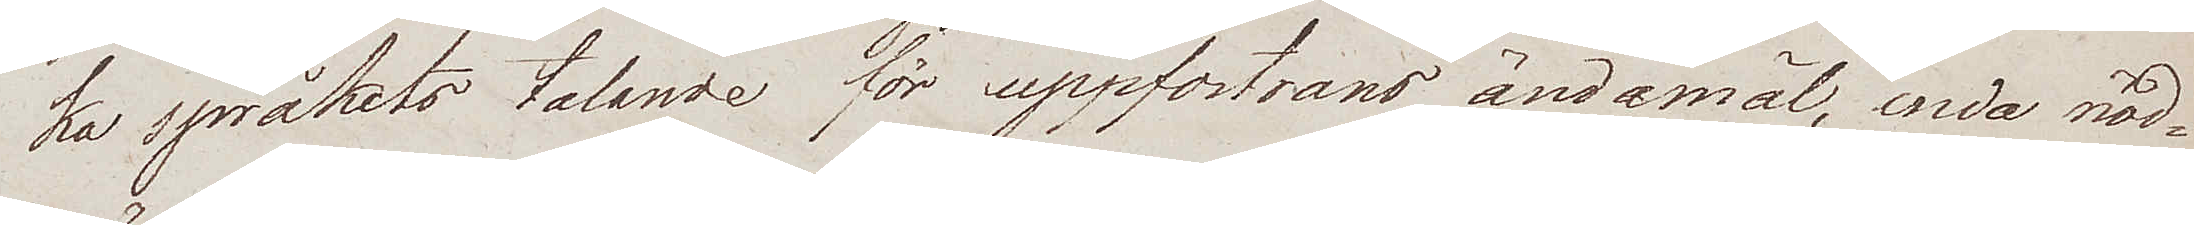ka språkets talande för uppfostrans ändamäl, enda nöd¬
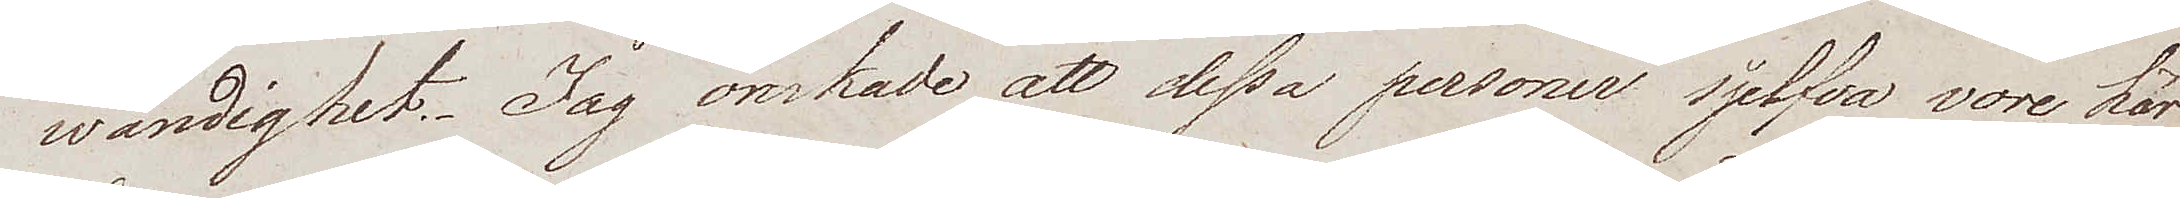wändighet. Jag önskade att dessa personer sjelfva vore här
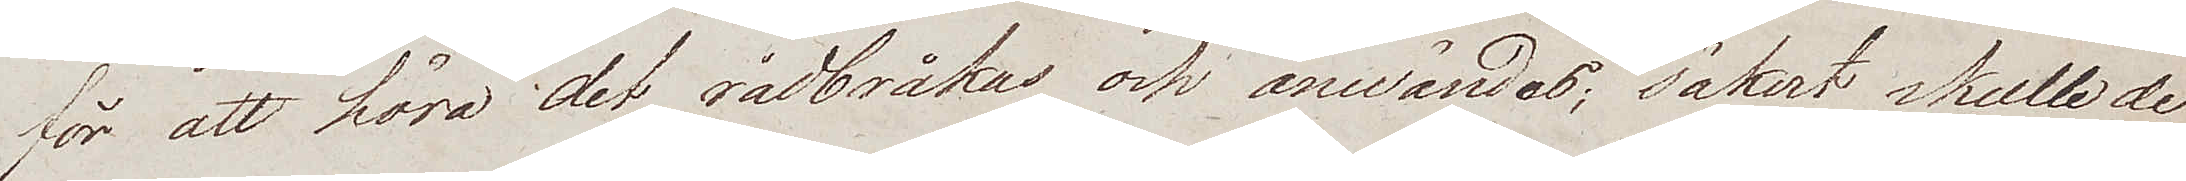för att höra det rådbråkas och anwändas; säkert skulle de
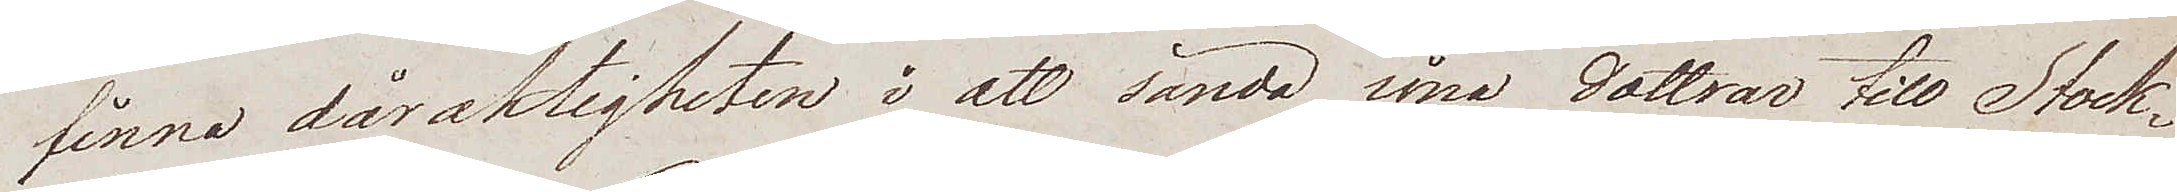finna dåraktigheten i att sända sina döttrar till Stock¬
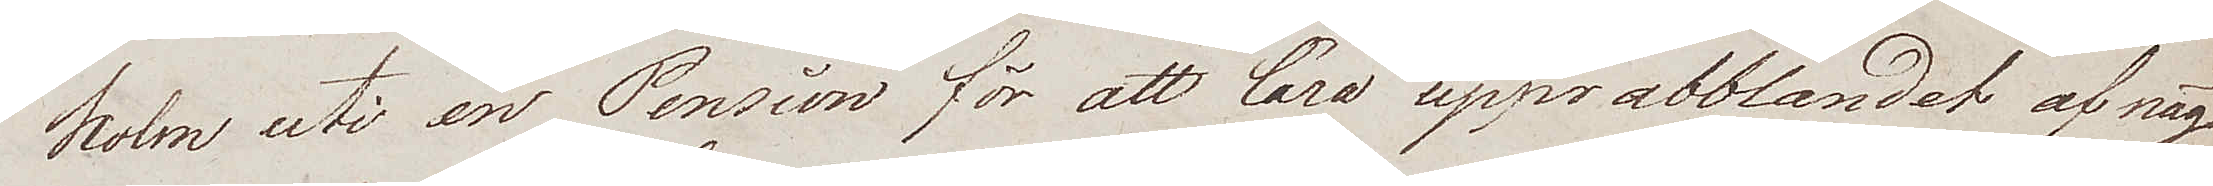holm uti en Pension för att lära upprabblandet af någ¬
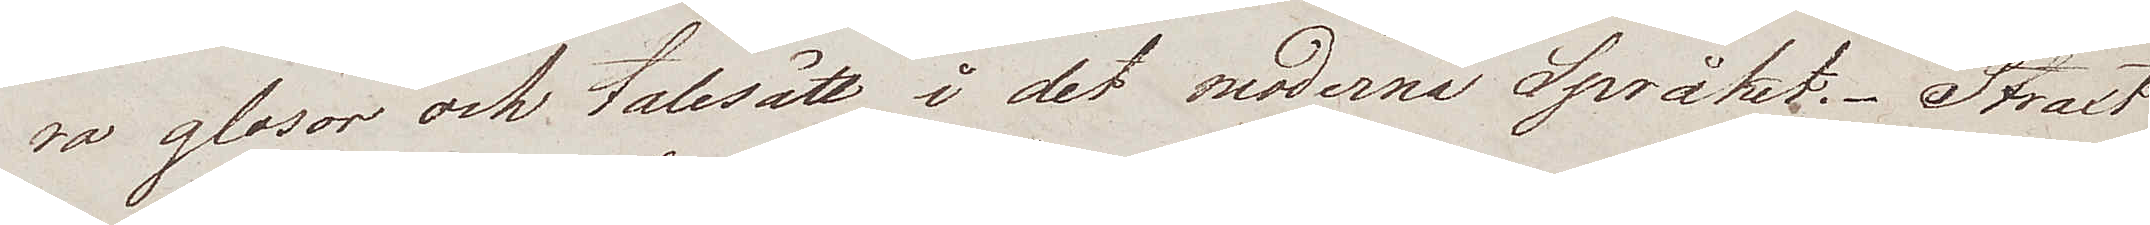ra glosor och talesätt i det moderna Språket. Straxt
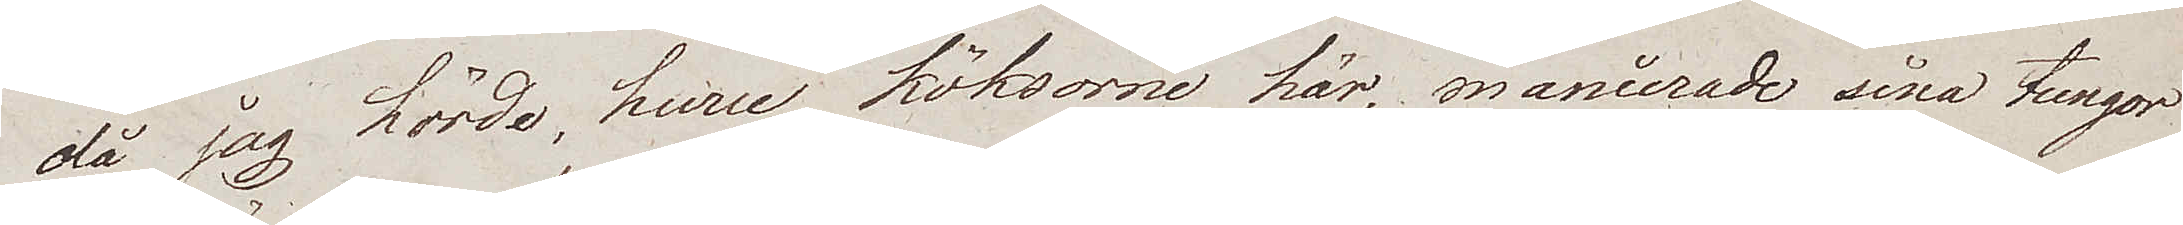då jag hörde, huru köksorne här, manierade sina tungor
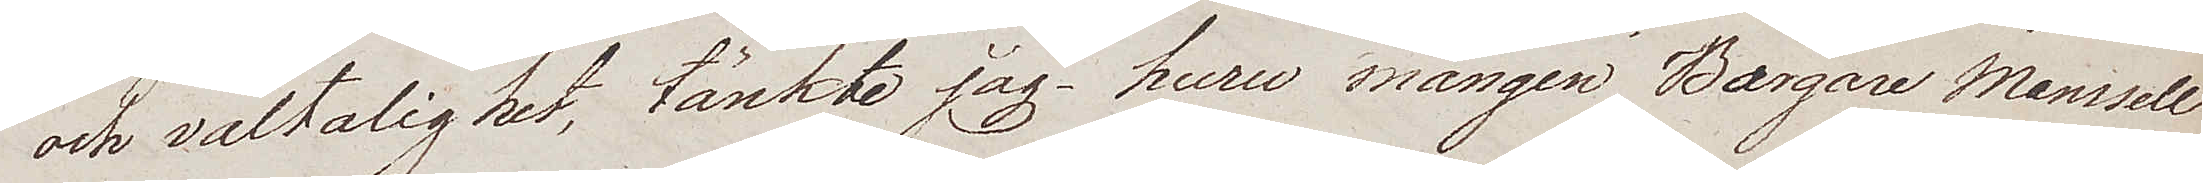och vältalighet, tänkte jag huru mången Borgare Mamsell
